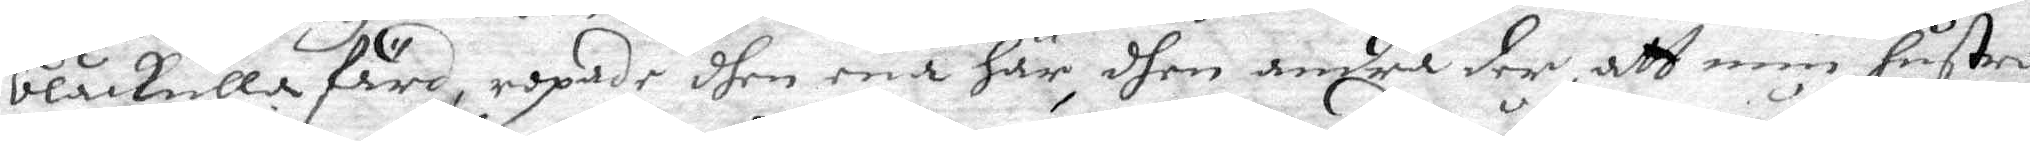blåkullafärd, ropade dhen ena här, dhen andra der att min hustro
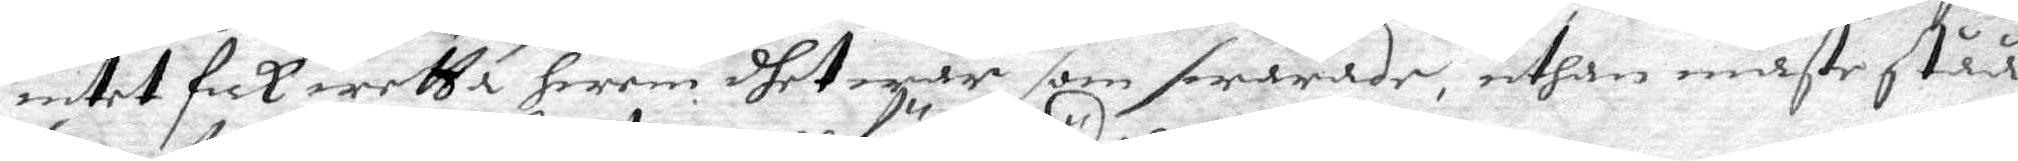intet fick wetta hwem dhet war som swarade, uthan måste ståå
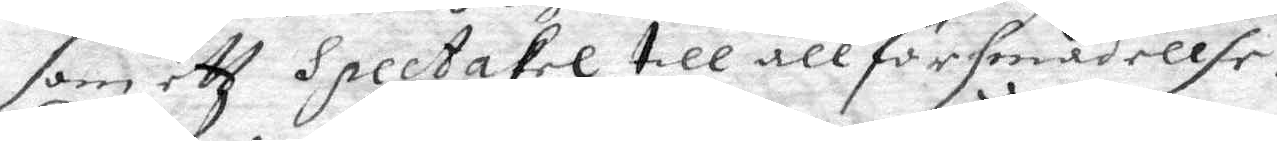som ett Spectakel till all försmädellse.
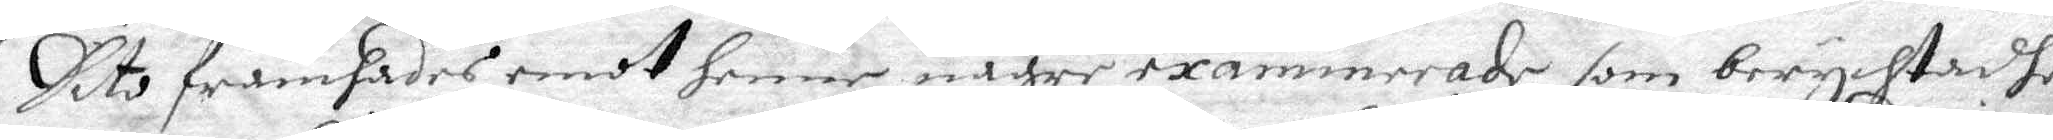Dito framsades emot henne någre examinerade som berychtadhe
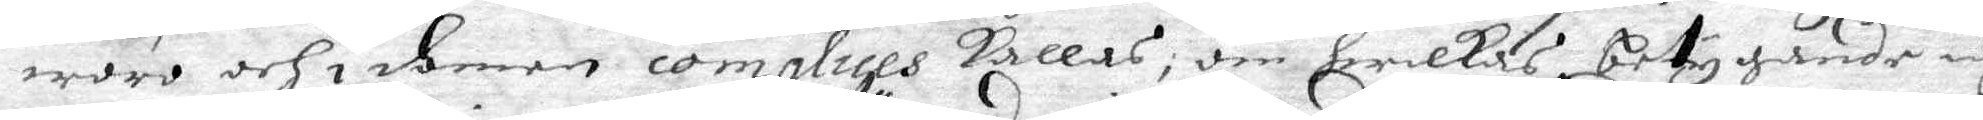woro och i domen complices kallas, om hwilkas betygande iagh
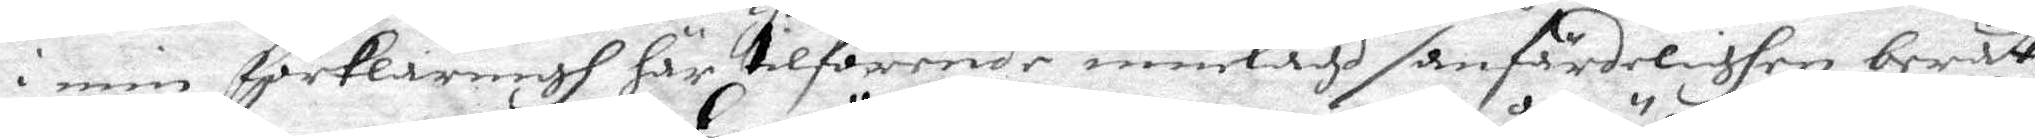i min förklaringh här tilförende innelagd sanfärdelighen berät¬
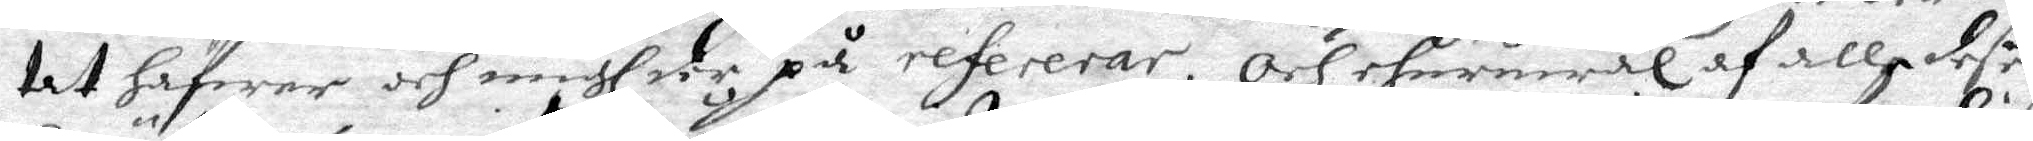tat hafwer och migh der på refererar. Och ehuruwäl af alle deßes
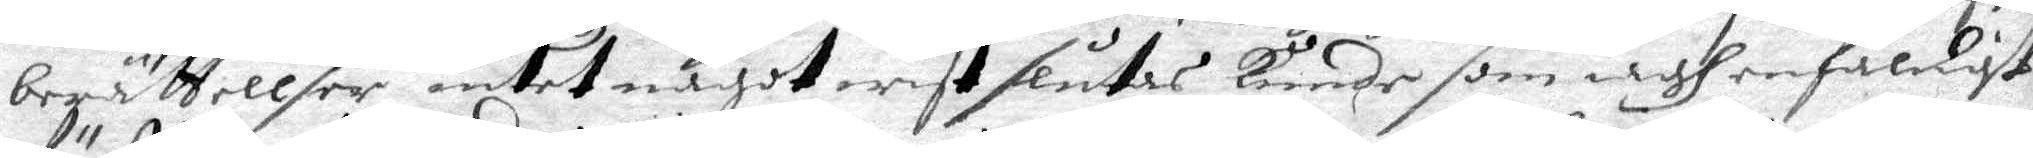berättellser intet något wist slutas kunde som iagh enfaldigt
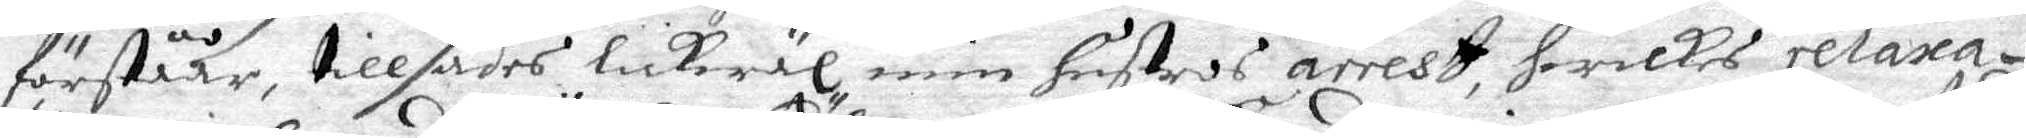förståår, tillsades lickwäl min hustros arrest, hwilkes relaxa¬
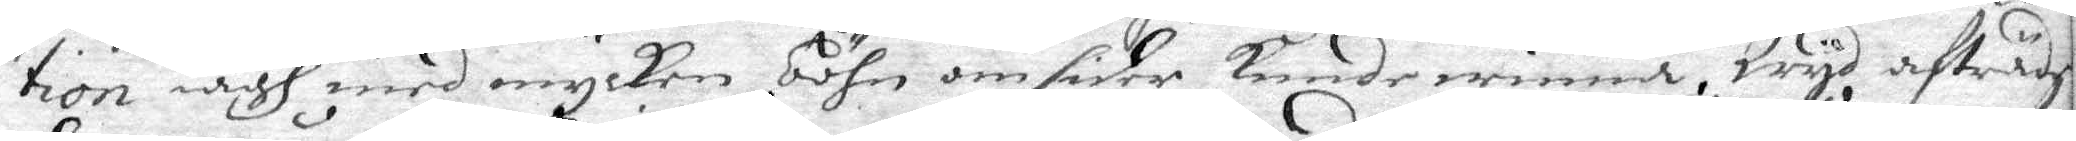tion iagh med mycken böhn omsider kunde winna, Wyd afträde
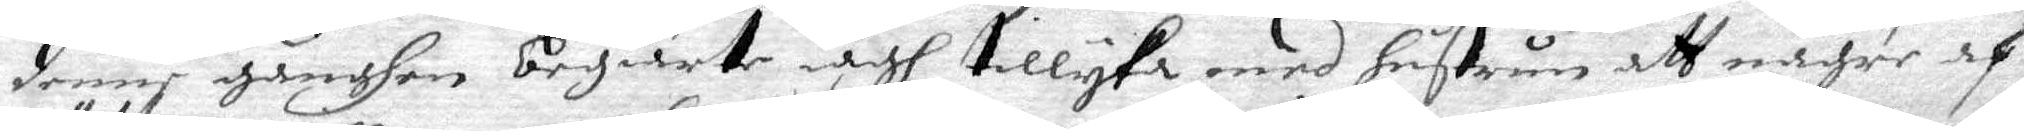denne gånghen begiärte iagh tillyka med hustru att någre afd
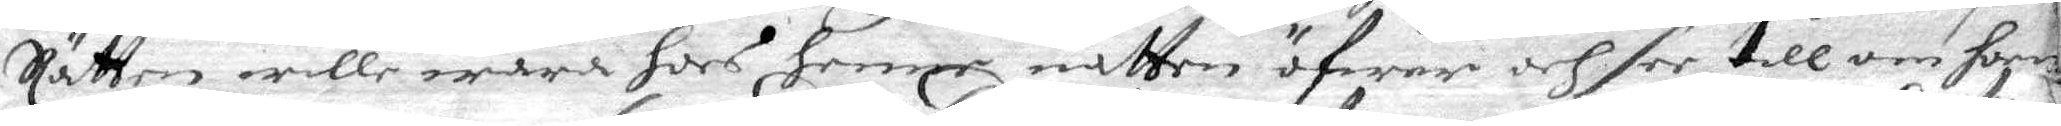Rätten wille wara hos henne natten öfwer och see till om hon
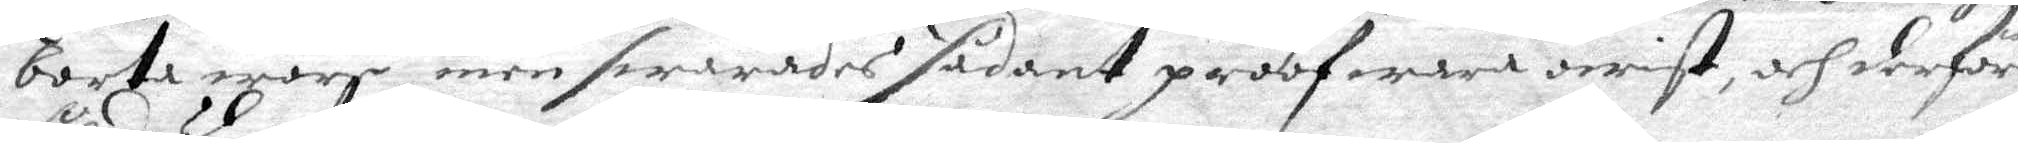borta woro, men swarades sådant proof war owist och derföre
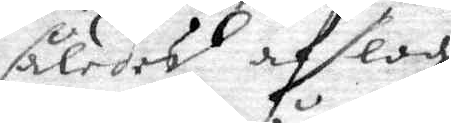således afslogz.
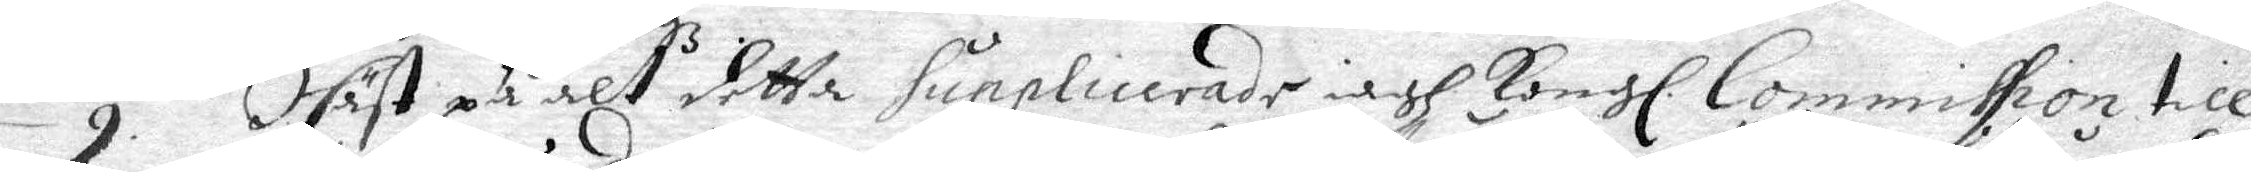9. dhäst på alt detta Supplicerade iagh Kongl. Commission till
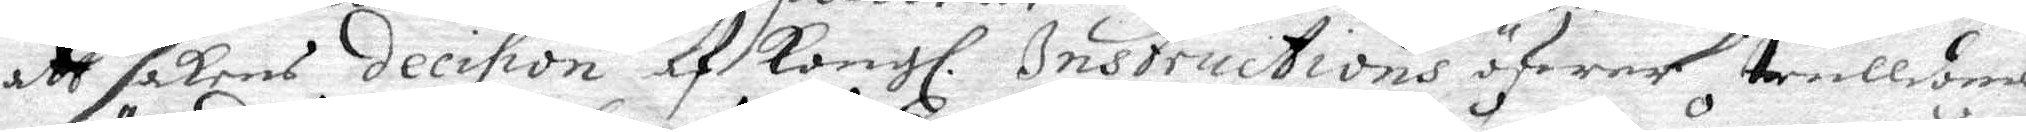att sakens decifion af Kongl. Instructions öfwer trulldoms¬
